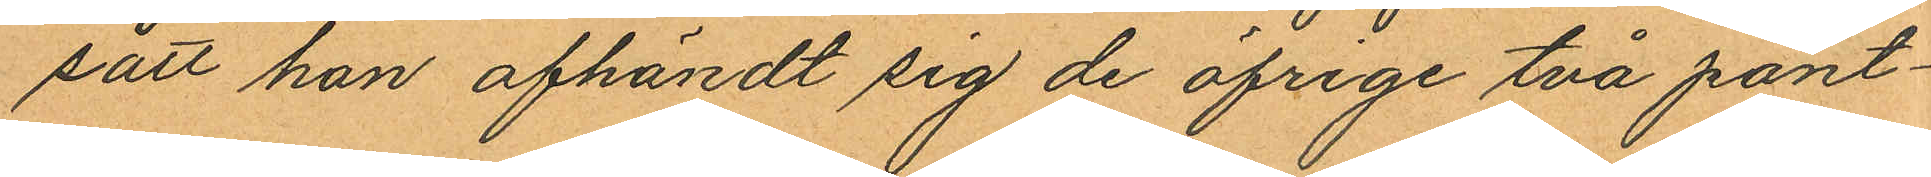satt han afhändt sig de öfrige två pant¬
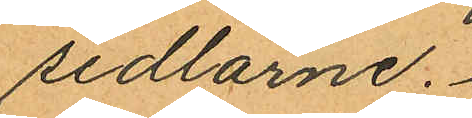sedlarne.
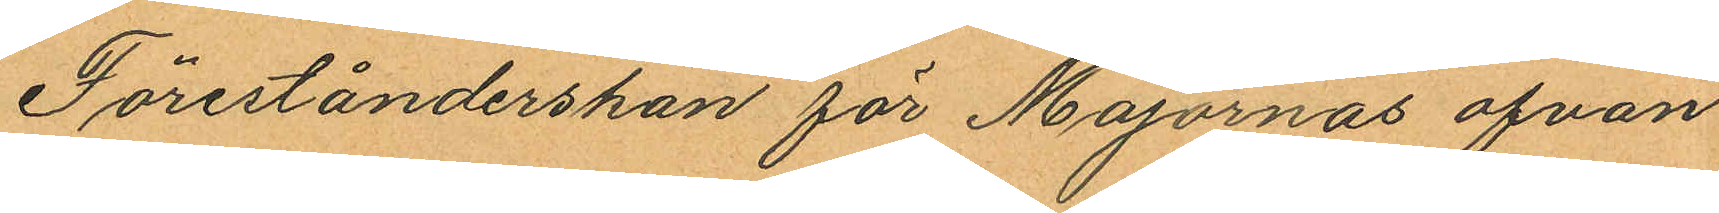Förestånderskan för Majornas ofvan
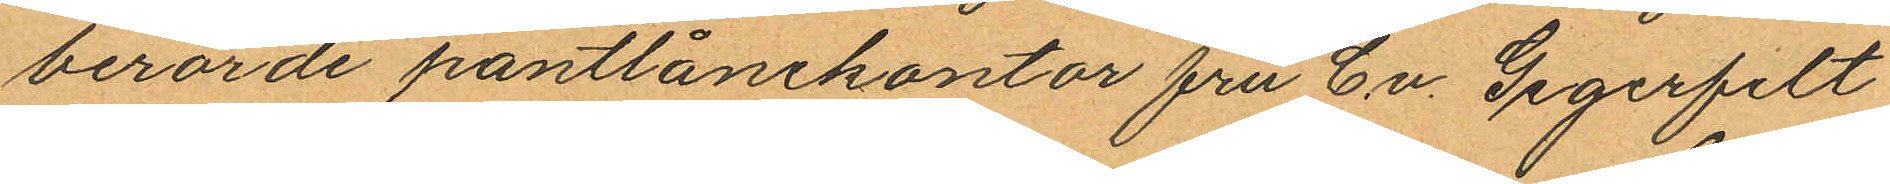berörde pantlånekontor fru C. v. Gegerfelt
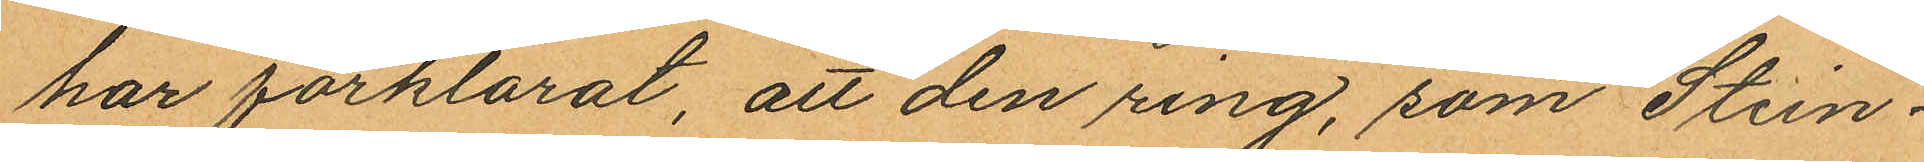har förklarat, att den ring, som Stein¬
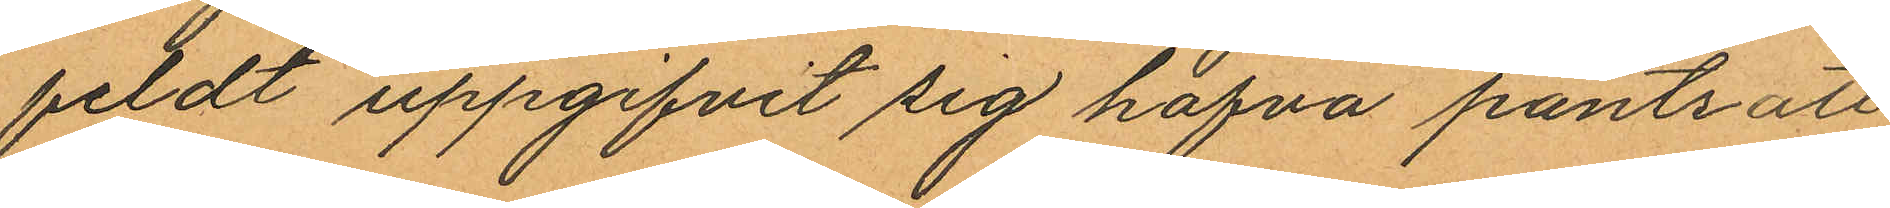feldt uppgifvit sig hafva pantsatt
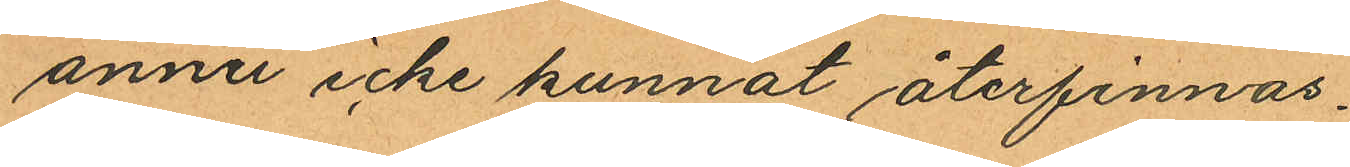annu icke kunnat återfinnas.
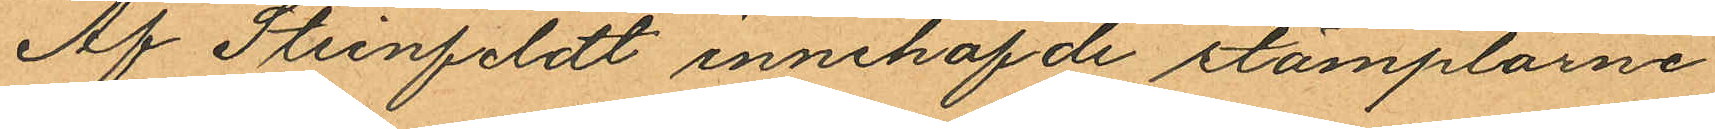Af Steinfeldt innehafde stämplarne
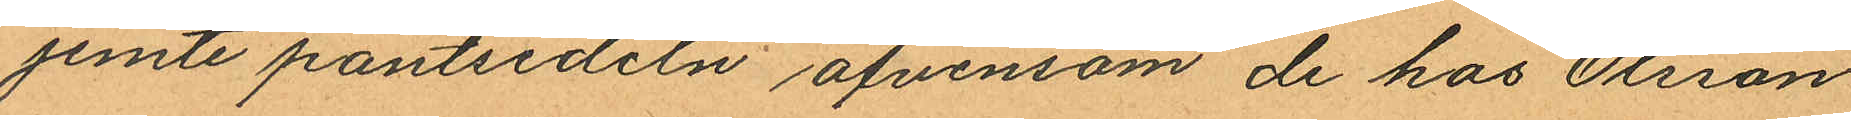jemte pantsedeln äfvensom de hos Olsson
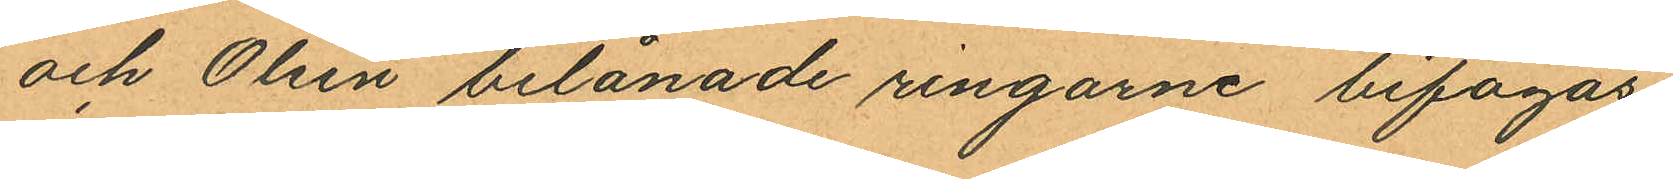och Olsén belånade ringarne bifogas.
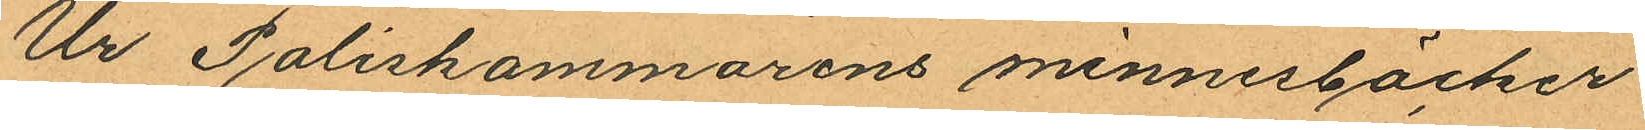Ur Poliskammarens minnessöcker
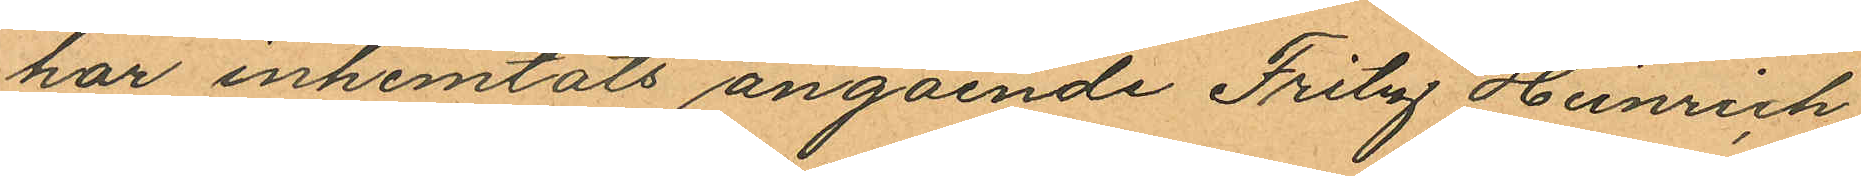har inhemtats angående Fritz Heinrich
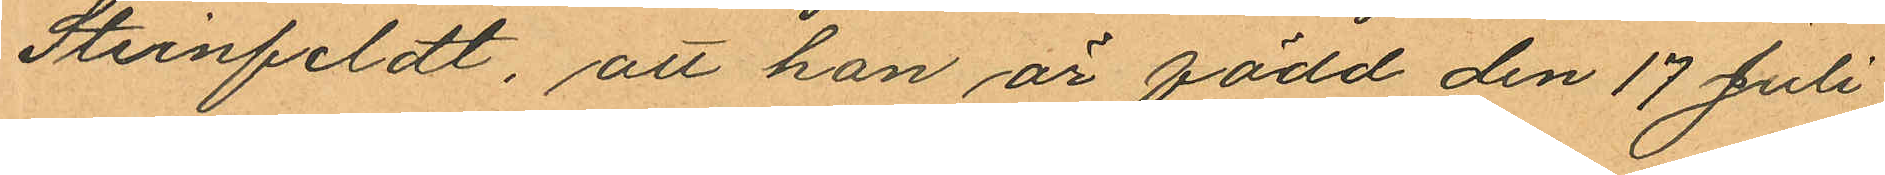Steinfeldt, att han är född den 17 Juli
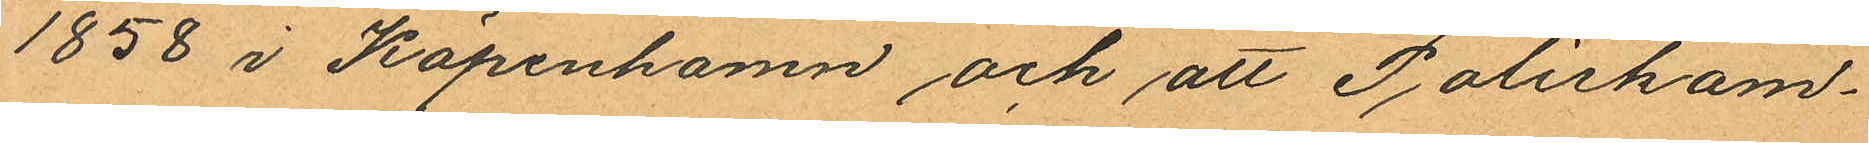1858 i Köpenhamn och att Poliskam¬
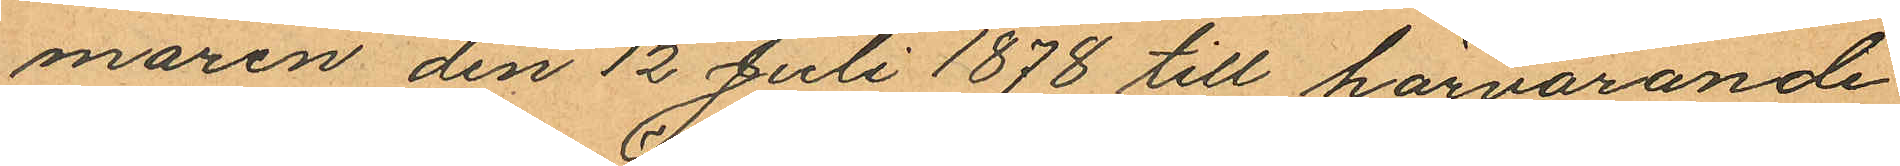maren den 12 Juli 1878 till härvarande
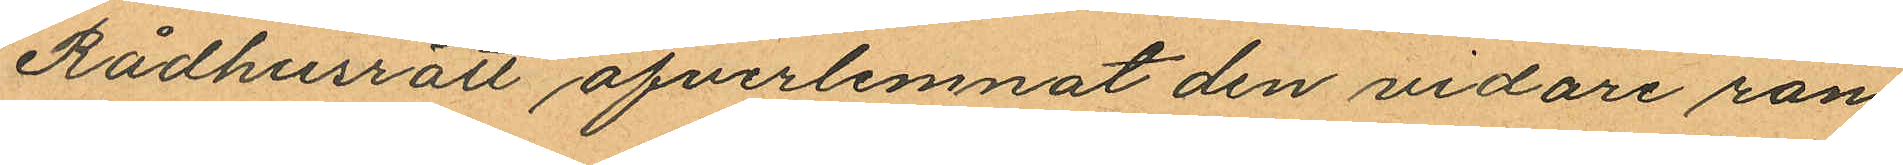Rådhusrätt öfverlemnat den vidare ran¬
